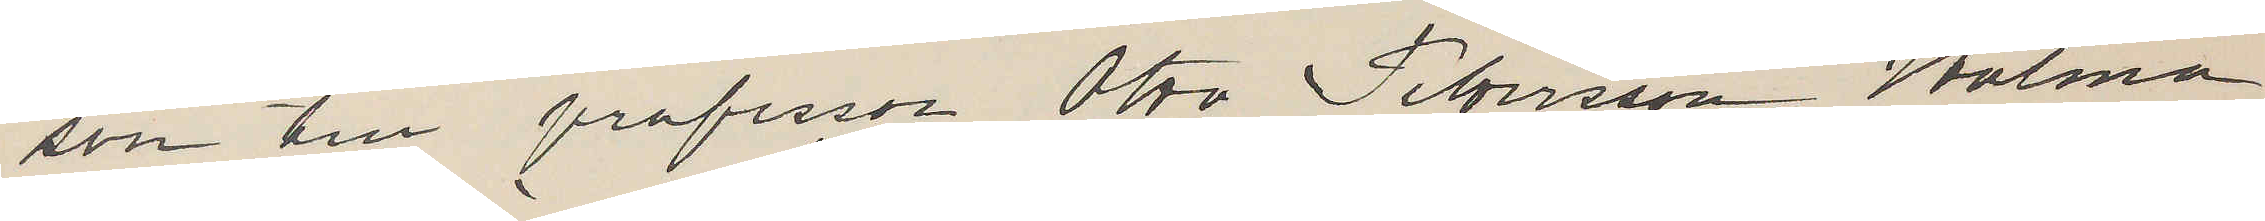son till professor Otto Petersson Holma
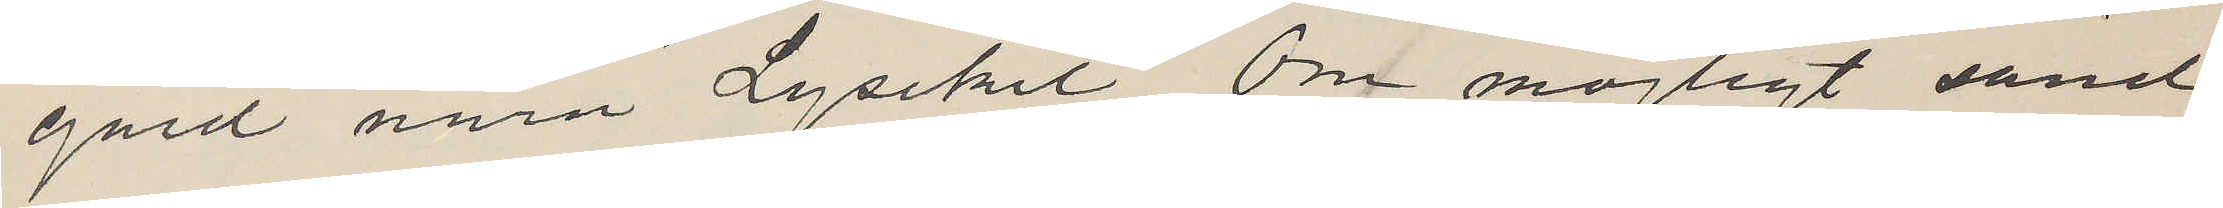gård nära Lysekil. Om möjligt sänd
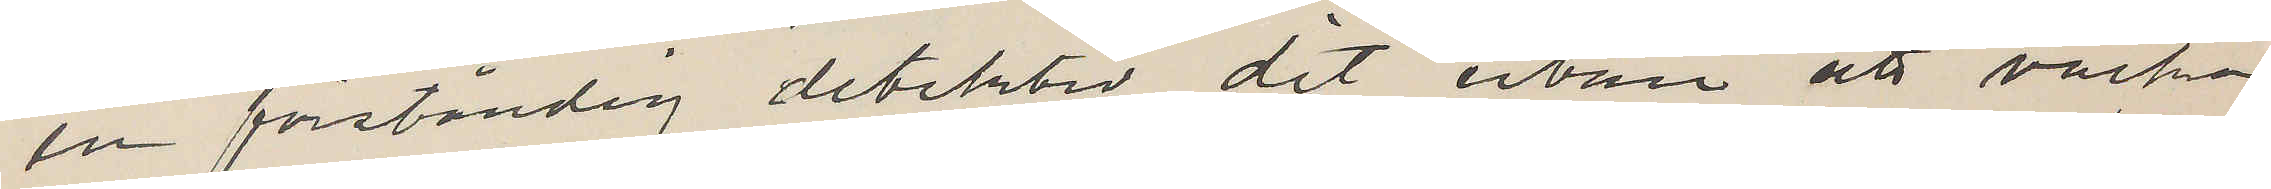en förståndig detektiv dit utan att väcka
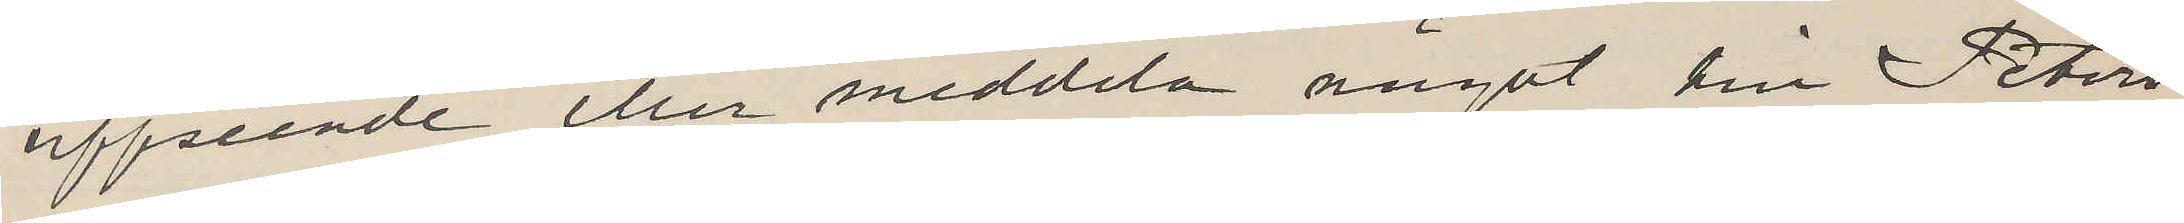uppseende eller meddela något till Peters¬
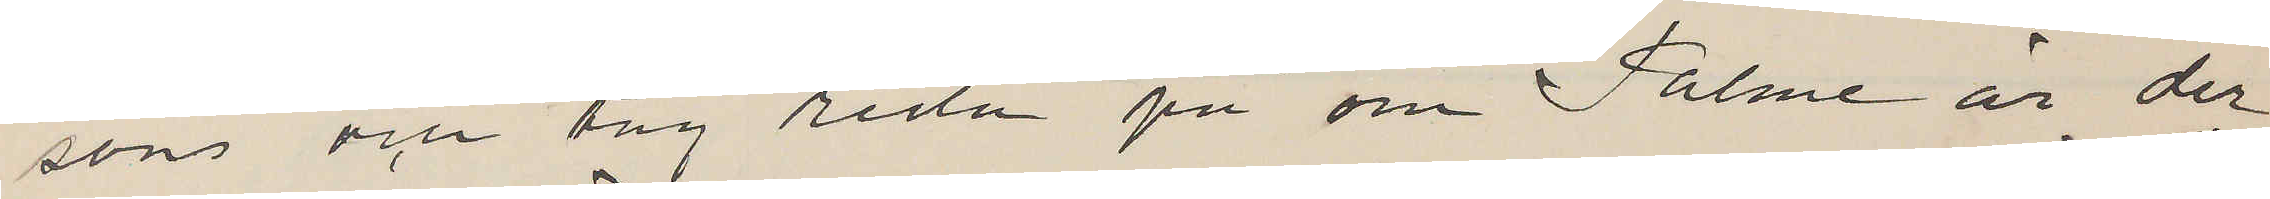son och tag reda på om Palme är der
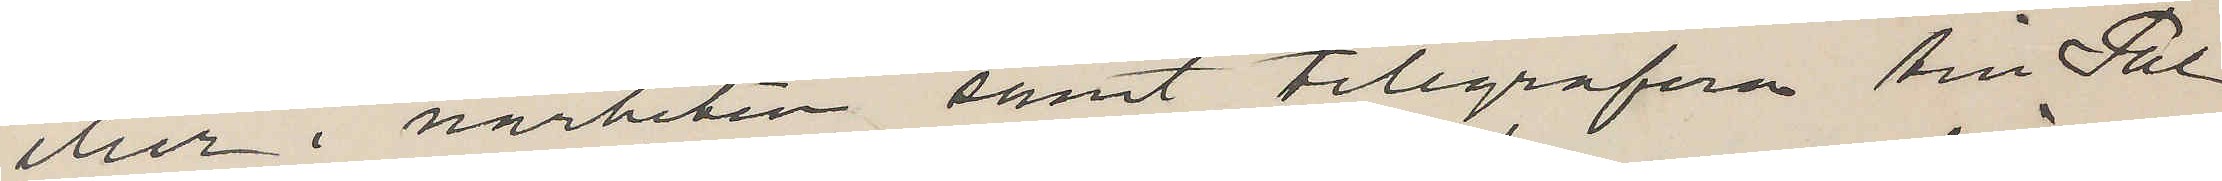eller i närheten samt telegrafera till Pal¬
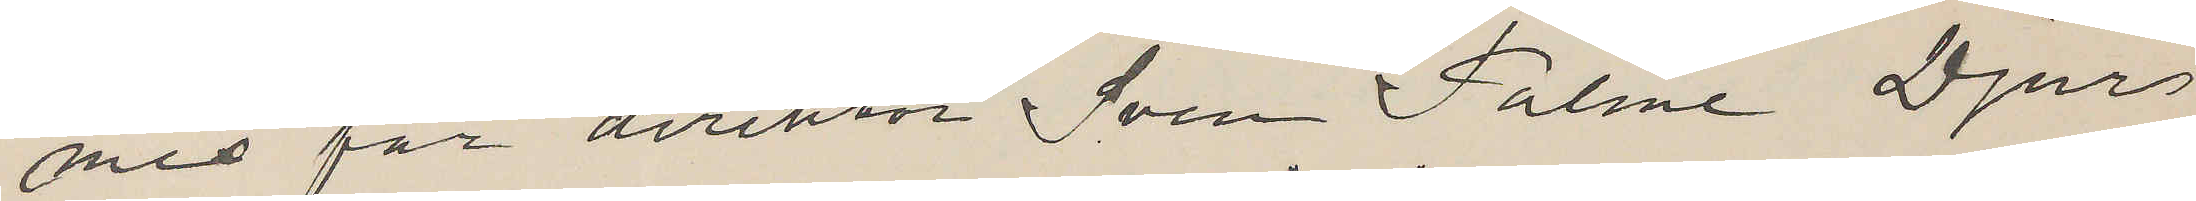mes far direktör Sven Palme Djurs¬
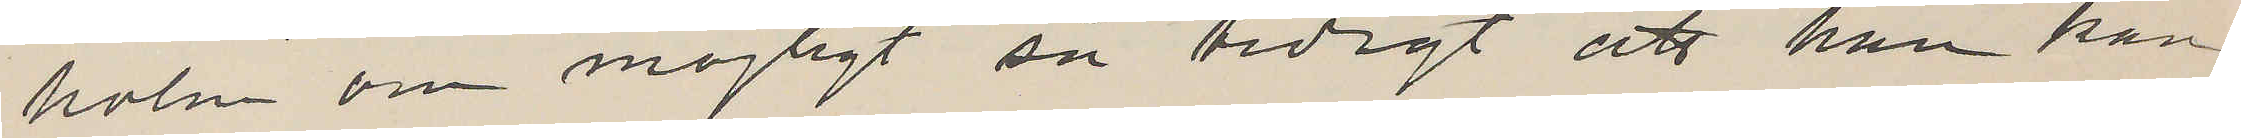holm om möjligt så tidigt att han kan
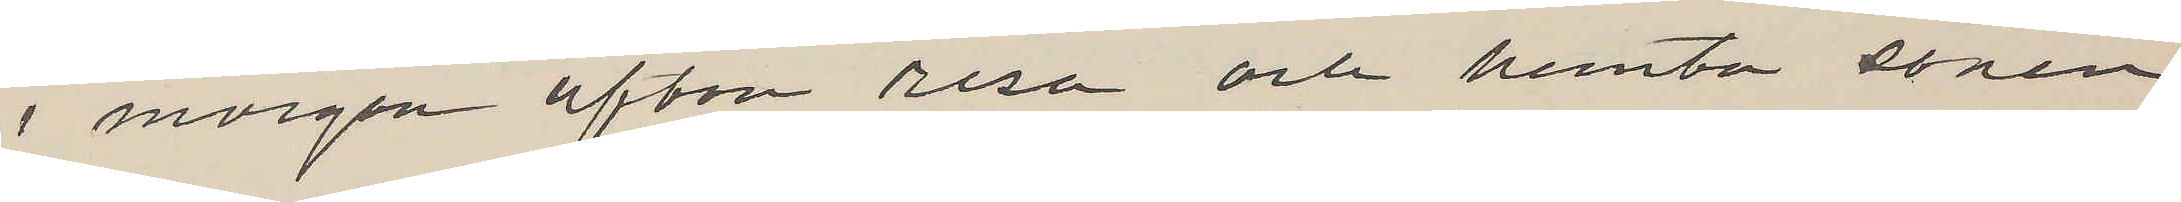i morgon afton resa och hemta sonen.
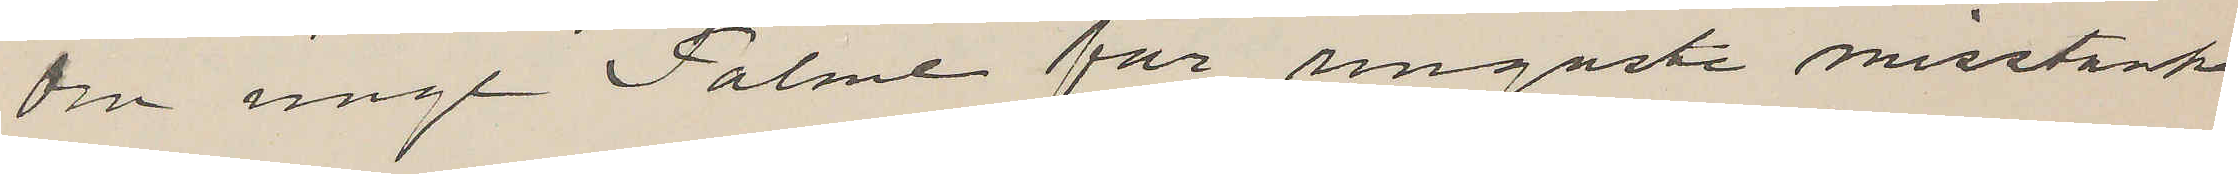Om unge Palme får ringaste misstanke
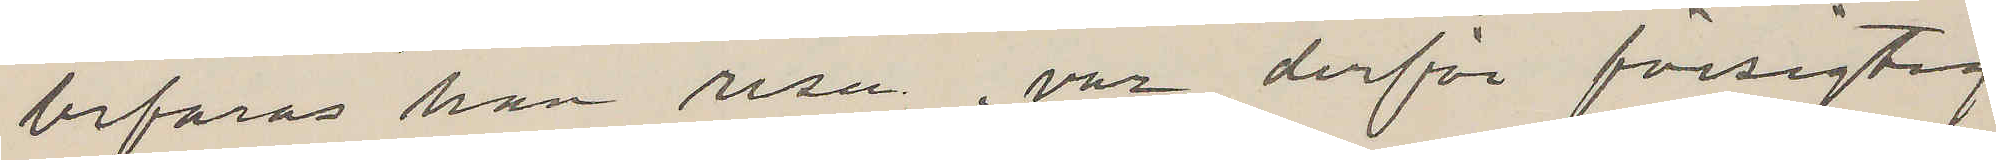befaras han resa, var derför försigtig.
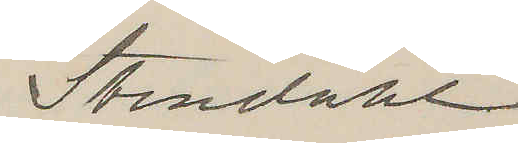Stendahl.
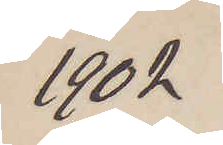1902
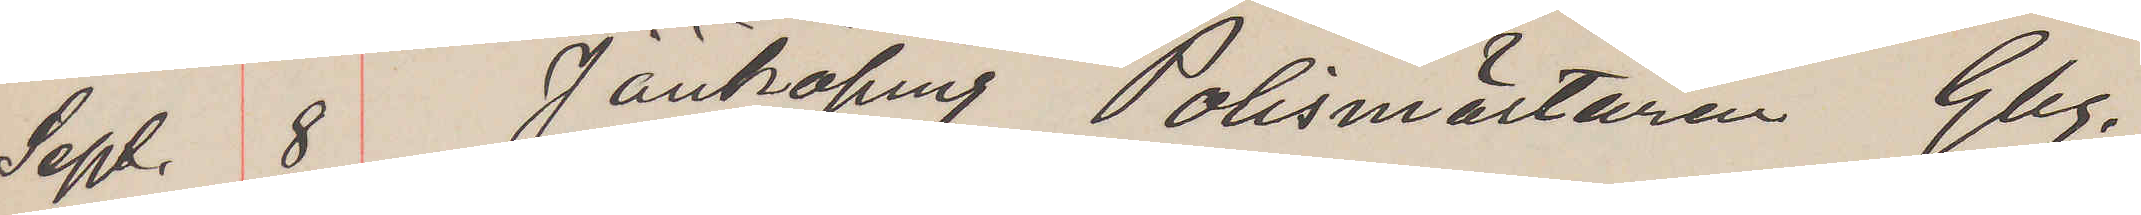Sept. 8 Jönköping Polismästaren Gbg.
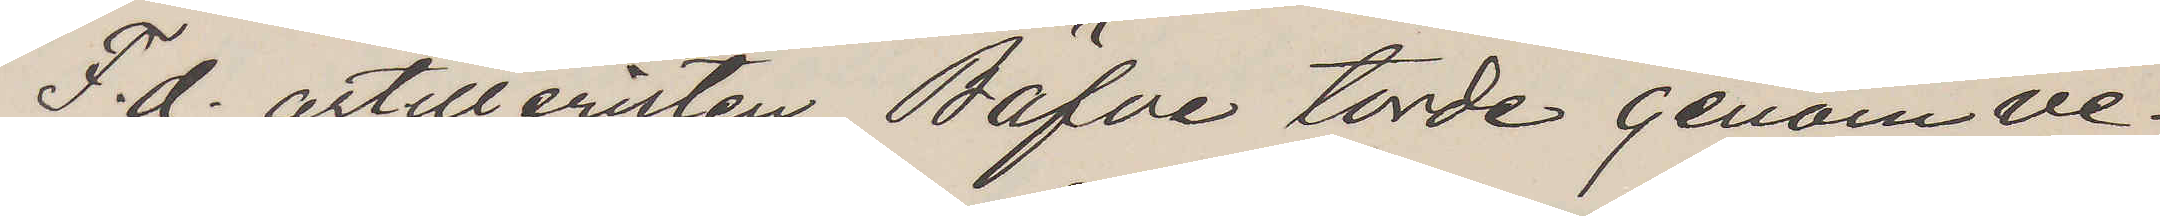F. d. artilleristen Bäfve torde genom ve¬
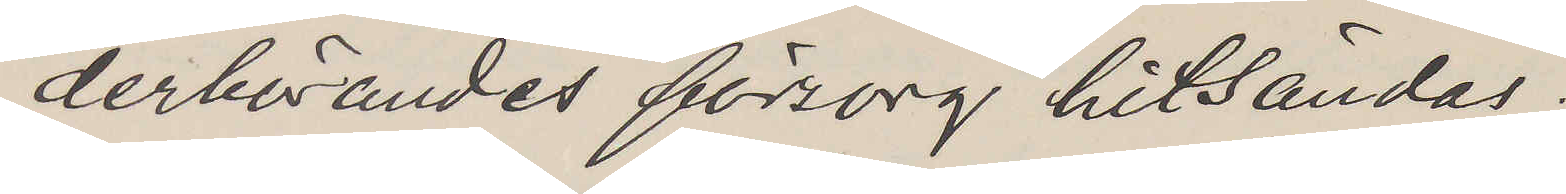derbörandes försorg hitsändas.
